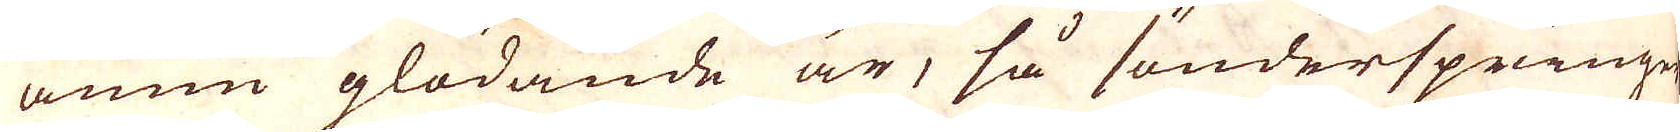ännu glödande är, så sönderspringer
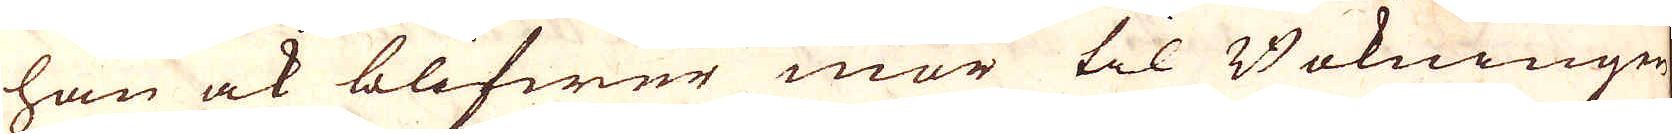han ock blifwer mör til Bokningen
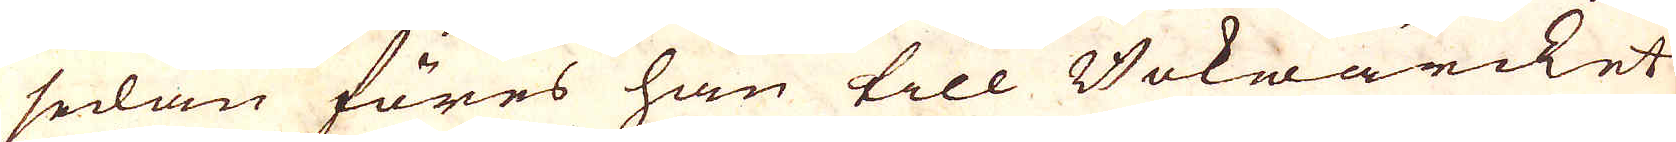sedan föres han till Bokwärcket
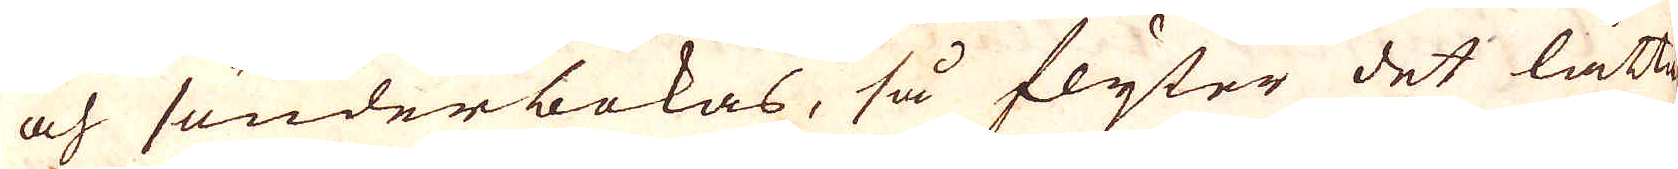och sönderbokas, så flyter det lätta-
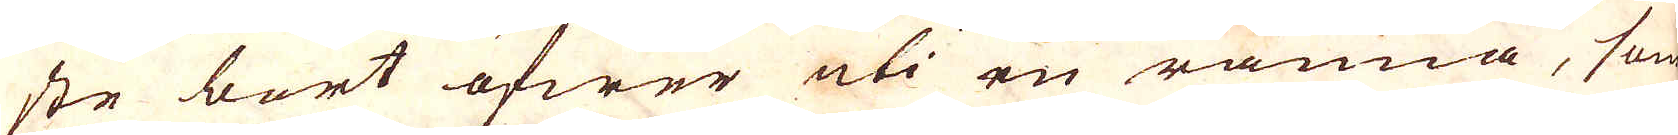ste bort öfwer uti en ränna, som
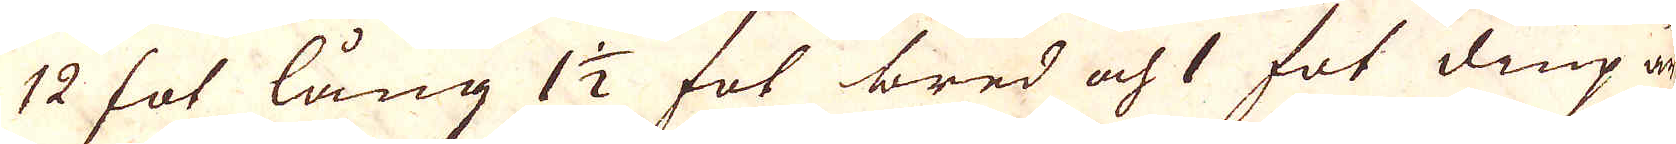12 fot lång 1 1/2 fot bred och 1 fot diup är
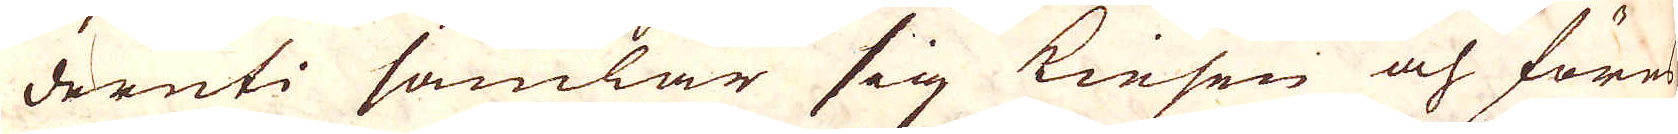deruti samlar sig kiesen och föres
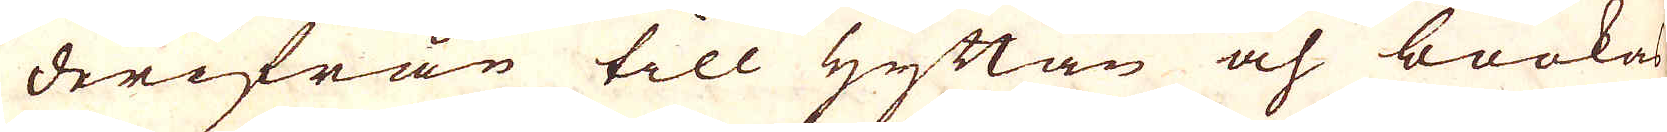derifrån till Hyttan och bookas
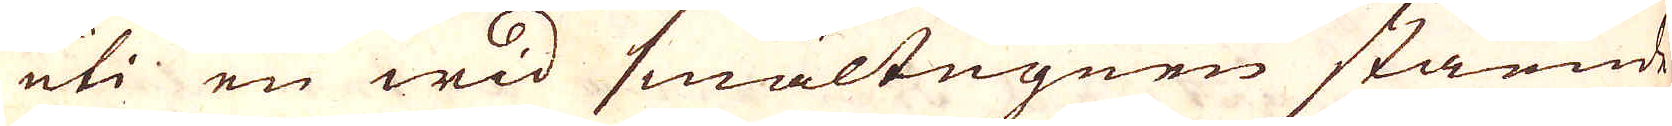uti en wid smältugnen skående
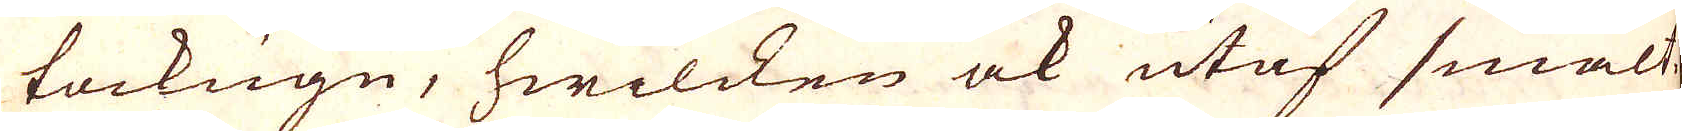tackugn, hwilcken ock utaf smält-
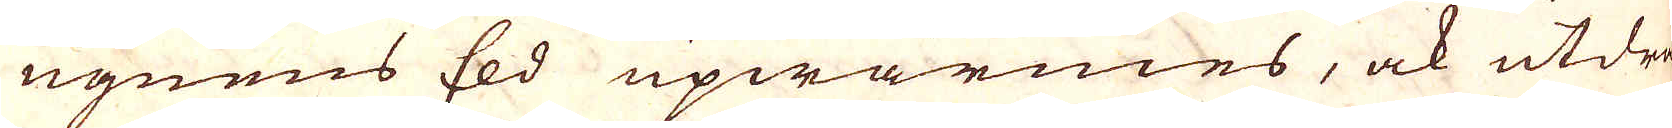ugnens Eld upwärmes, ock utdra-
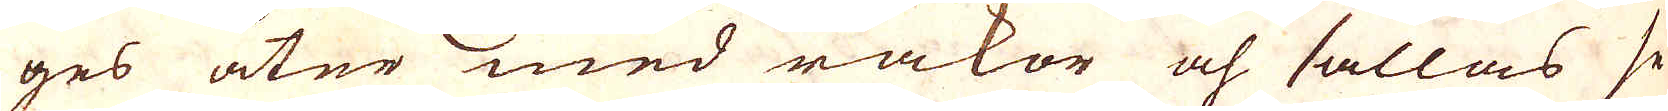ges åter med rakor och sållas se-
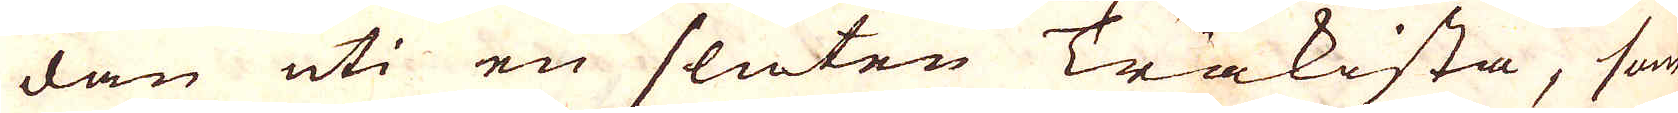dan uti en sluten Träkista, som
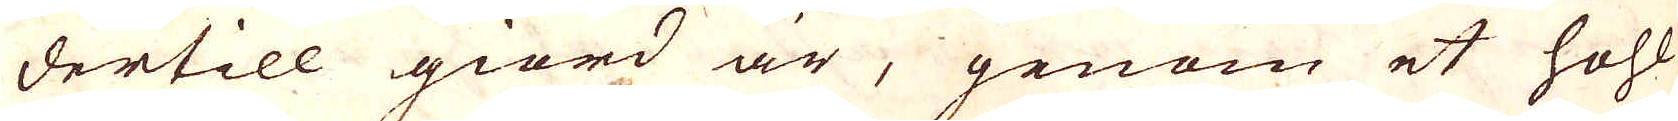dertill giord är, genom et hohl
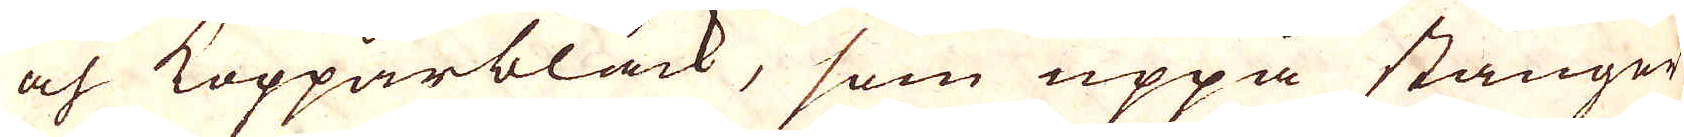och Kopparbläck, som uppå stänger
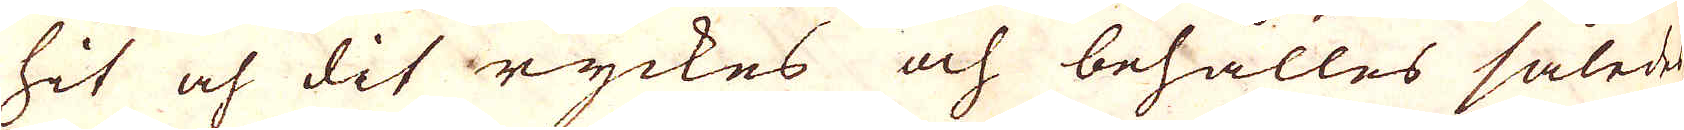hit och dit ryckes och behålles således
